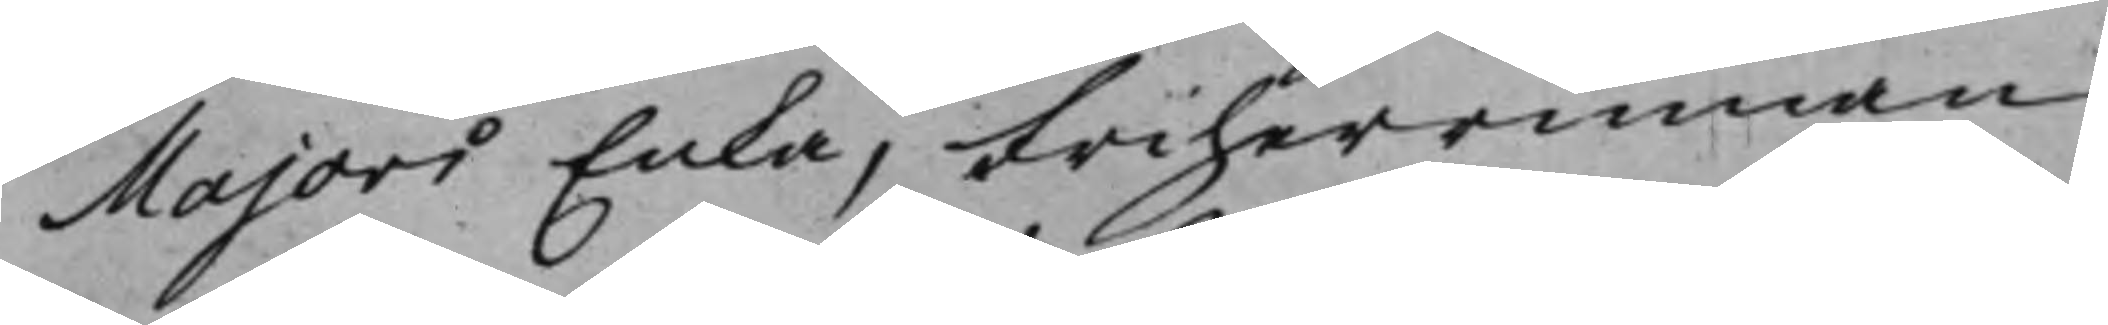Majors Enka, Friherrinnan
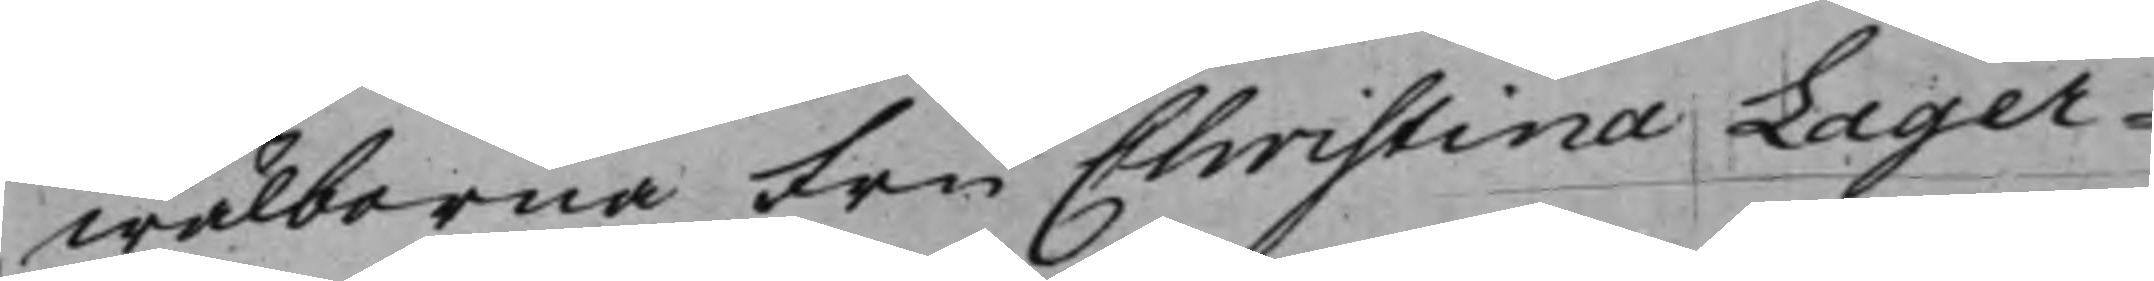Wälborna Fru Christina Lager¬
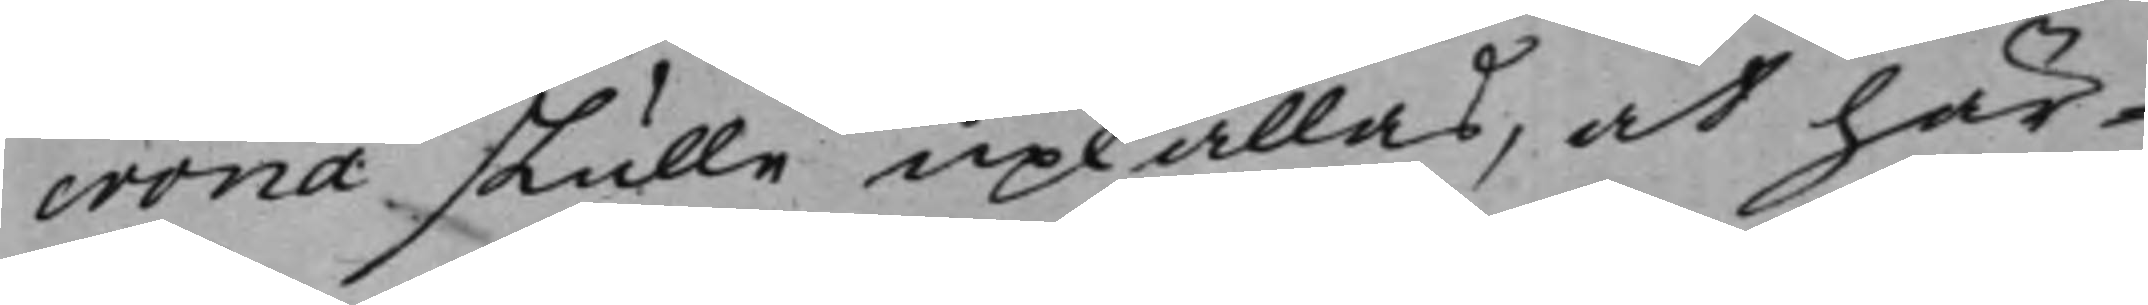crona skulle upkallas, at här¬
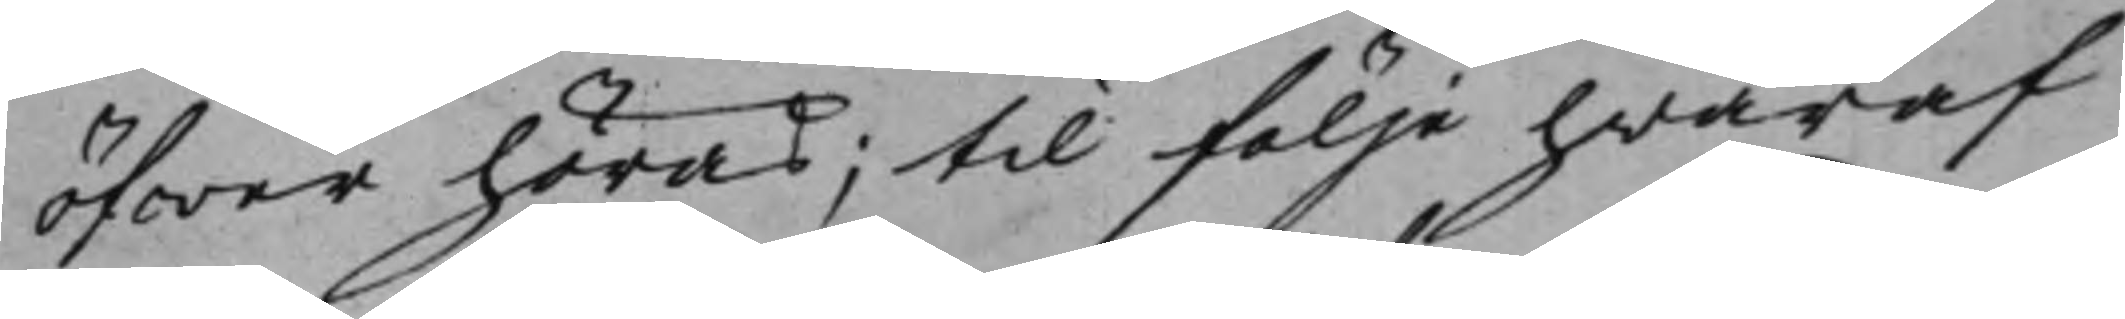öfwer höras; til följe hwaraf
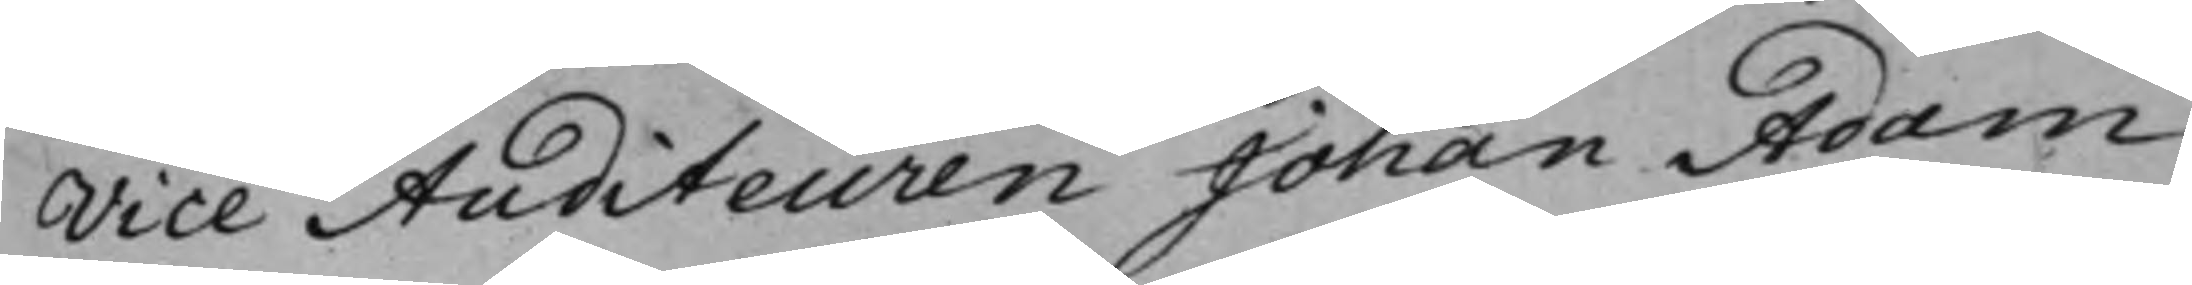Vice Auditeuren Johan Adam
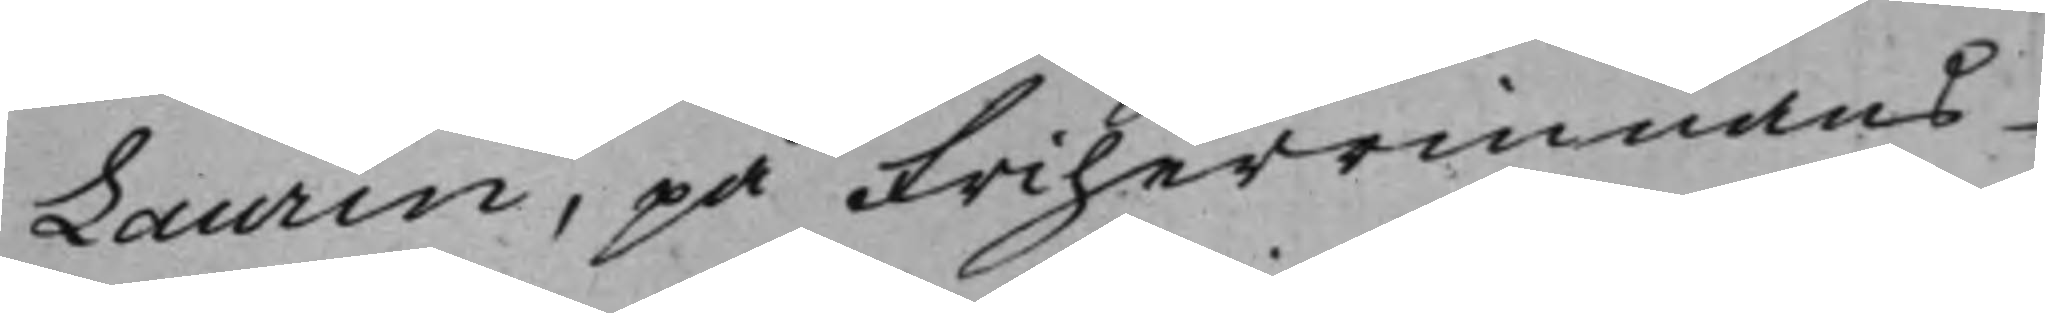Laurin, på Friherrinnans
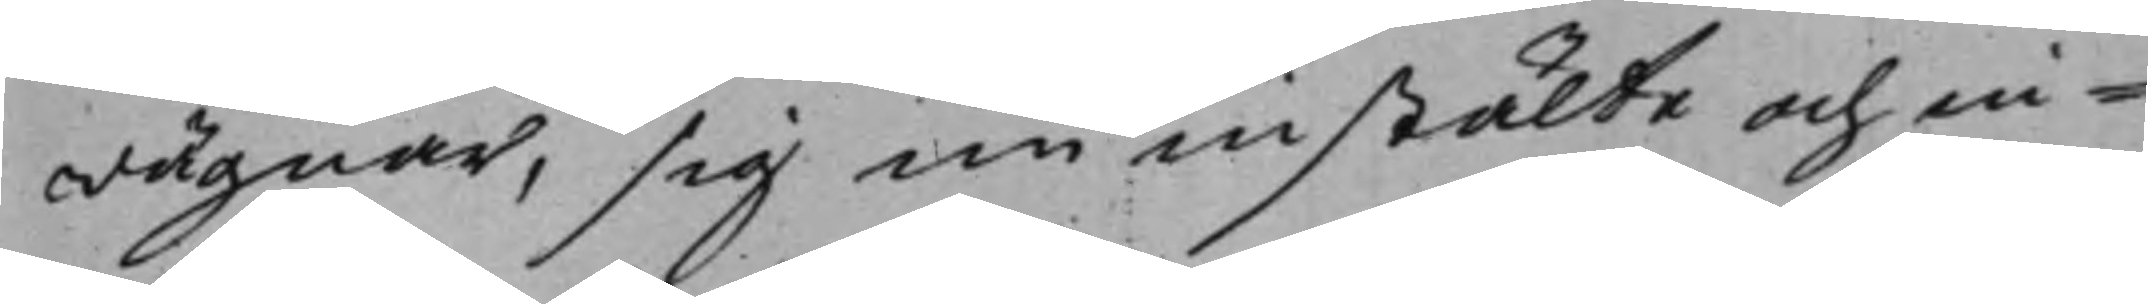wägnar, sig nu instälte och in¬
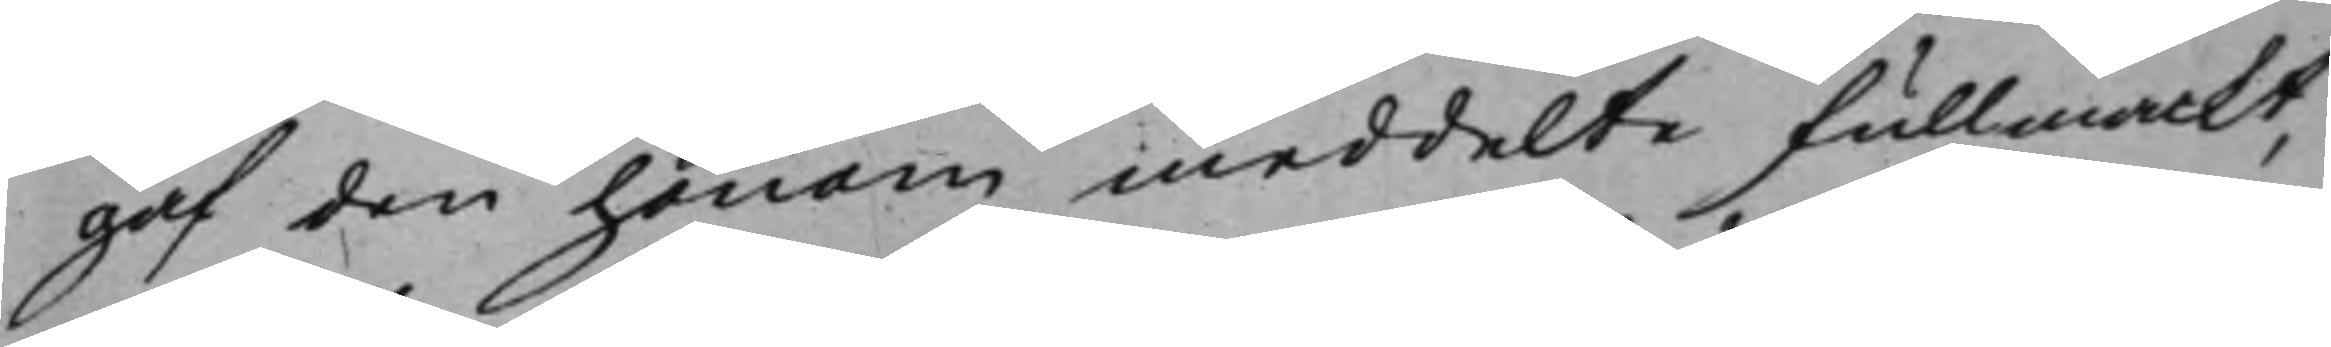gaf den honom meddelte fullmackt,
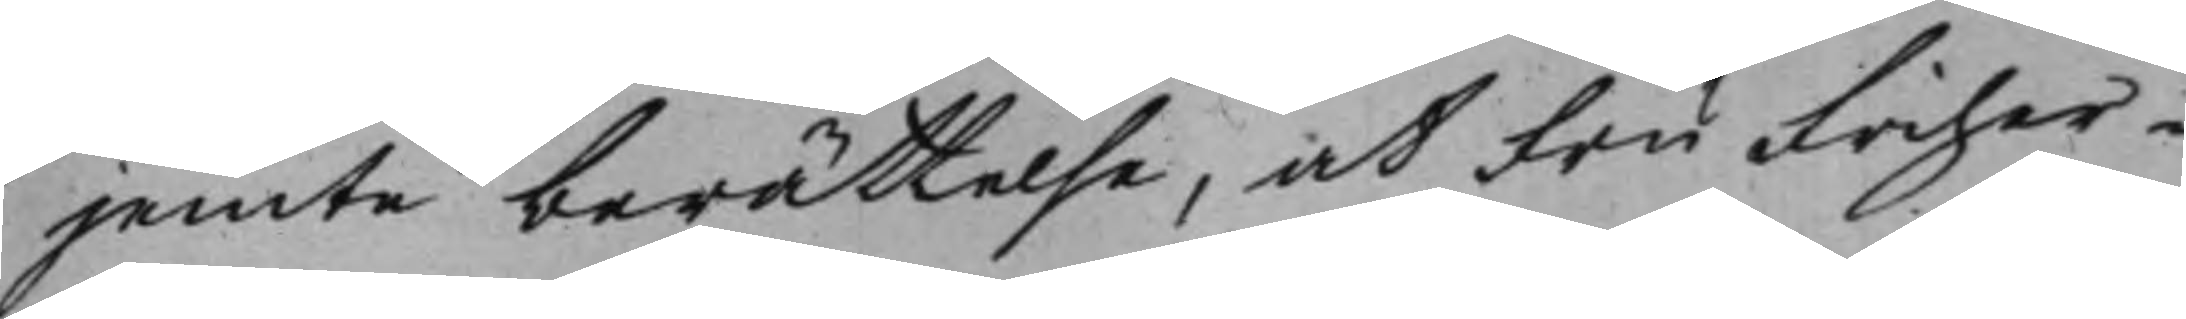jemte berättelse, at Fru Friher¬
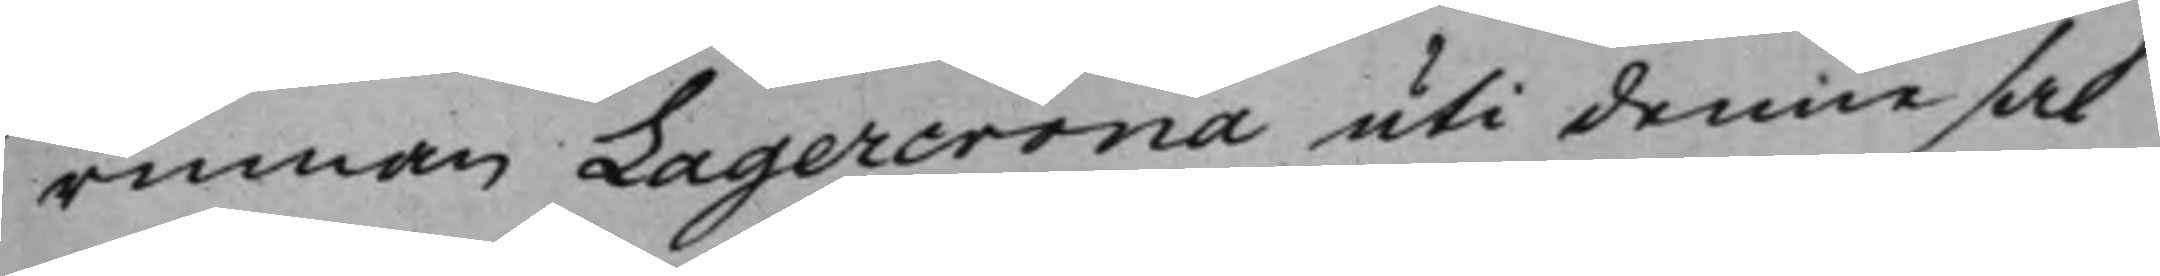rinnan Lagercrona uti denne sak
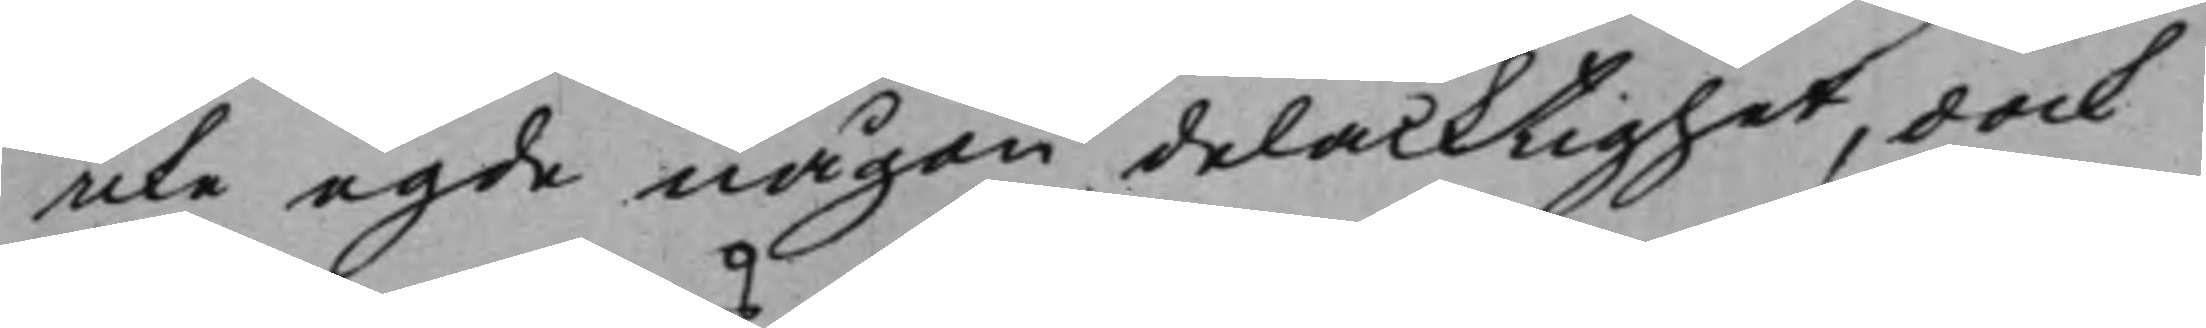icke egde någon delacktighet, dock
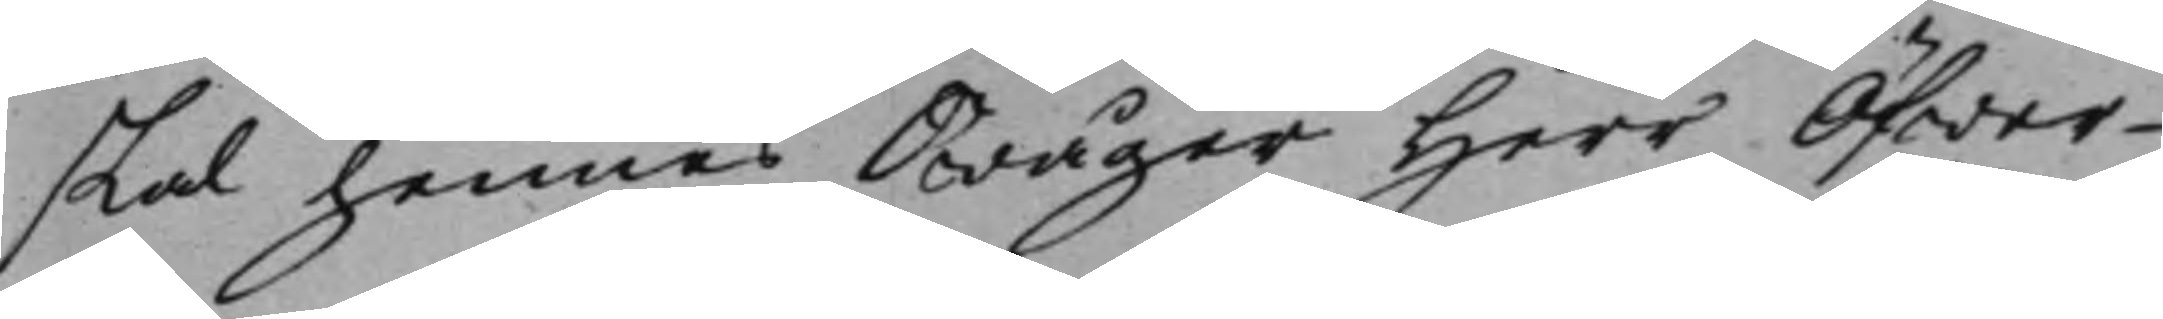skal hennes Swåger Herr Öfwer¬
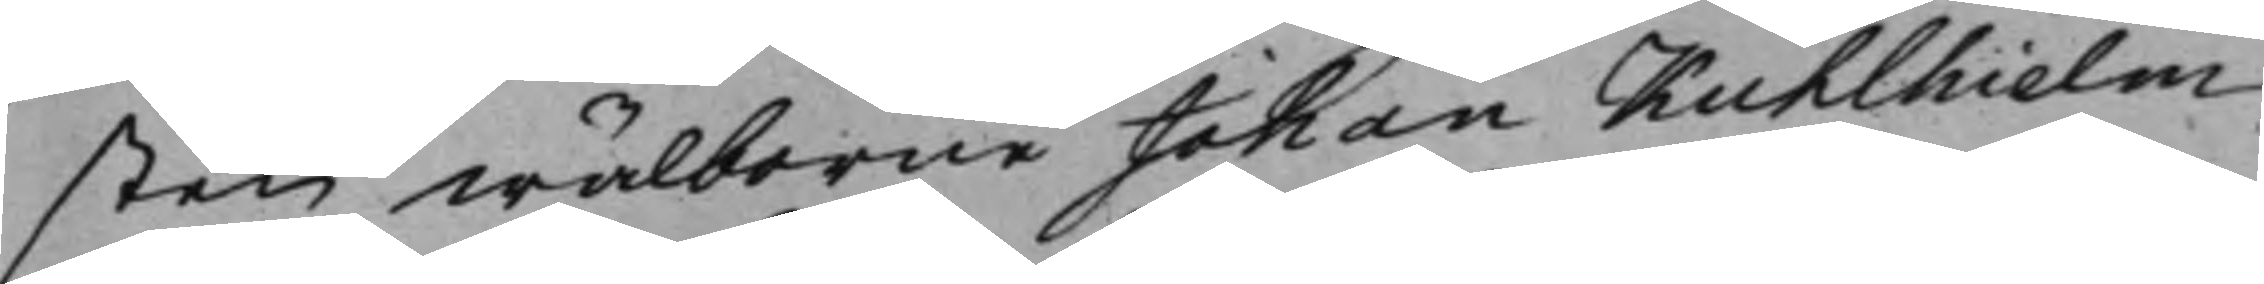sten Wälborne Johan Kuhlhielm
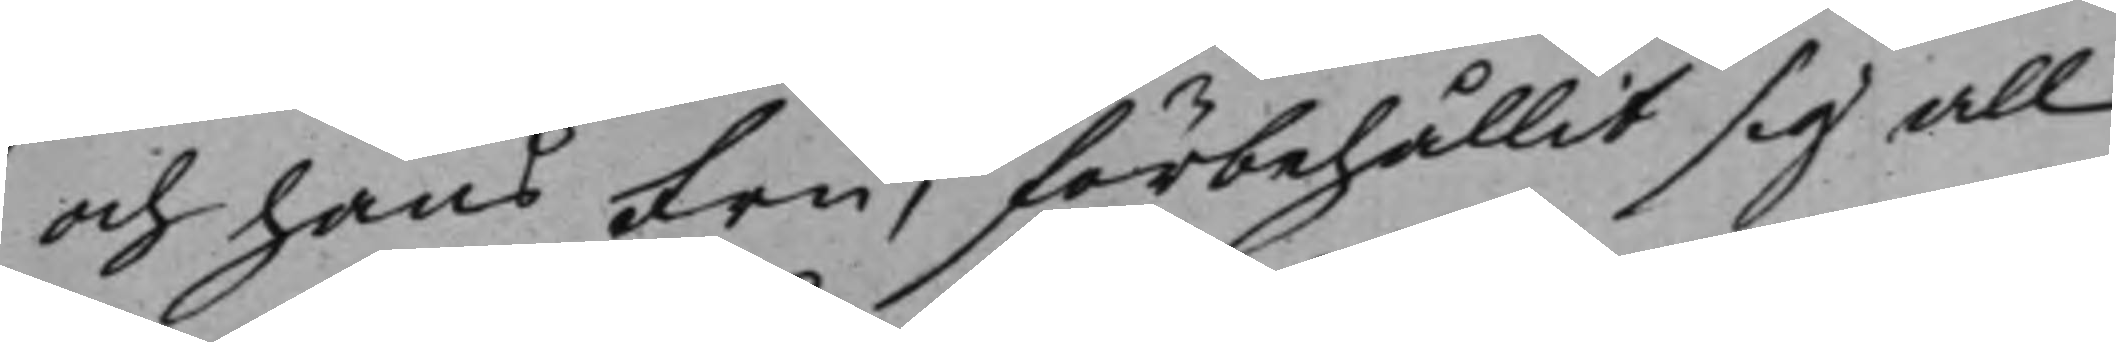och hans Fru, förbehållit sig all
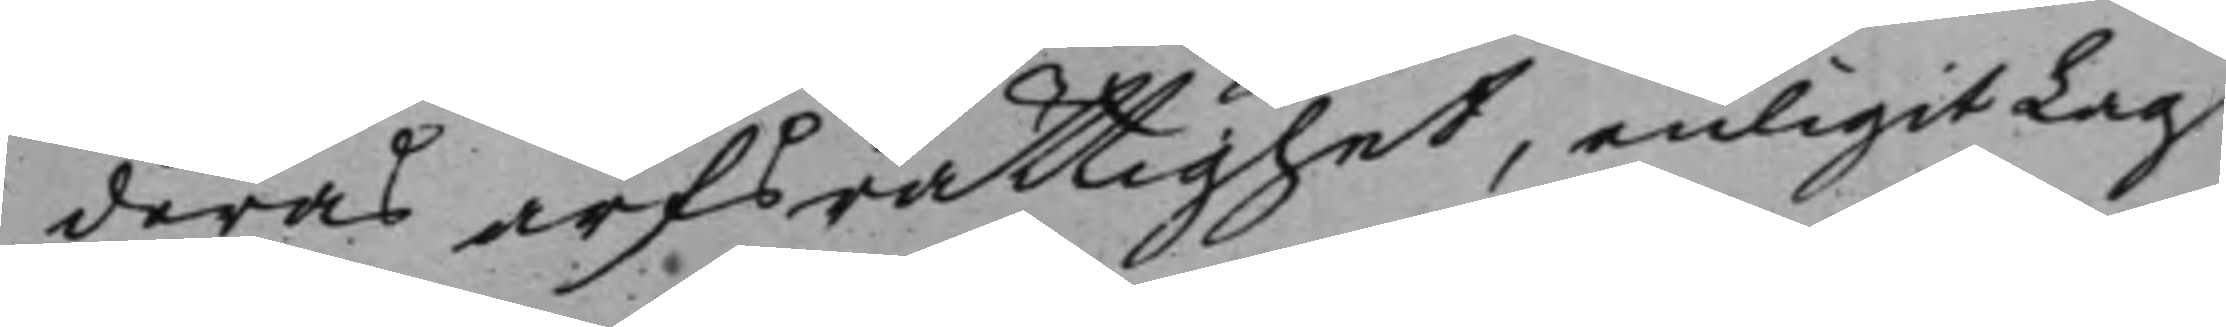deras arfsrättighet, enligit Lag
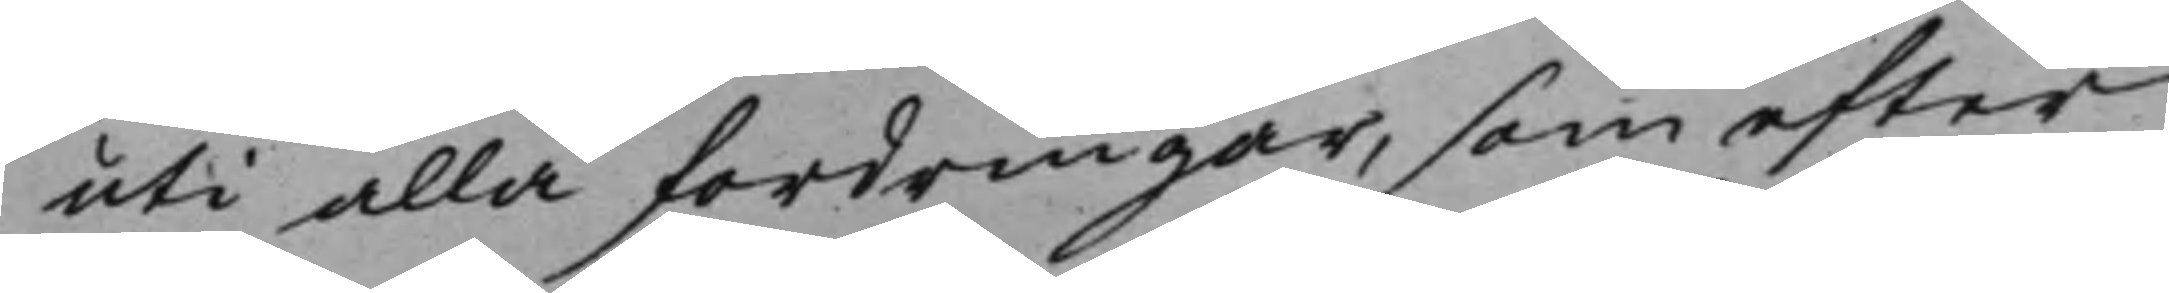uti alla fordringar, som efter
